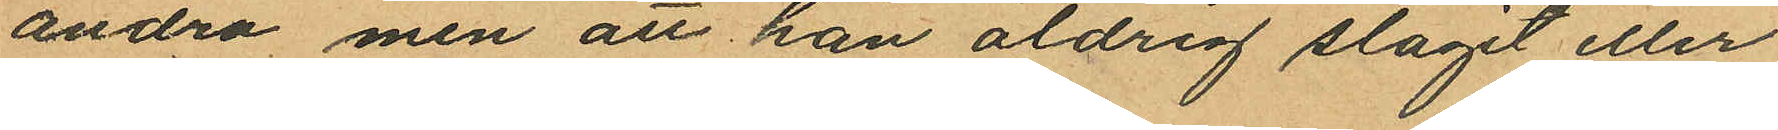andra men att han aldrig slagit eller
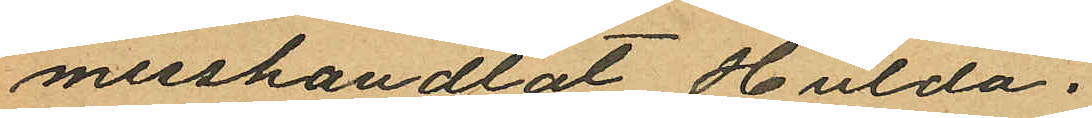misshandlat Hulda.
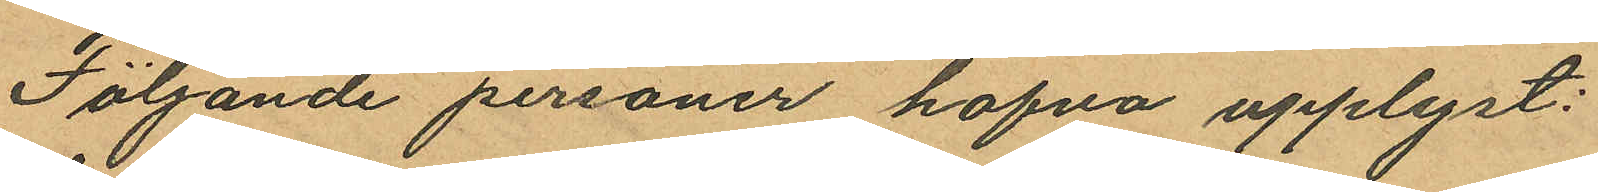Följande personer hafva upplyst:
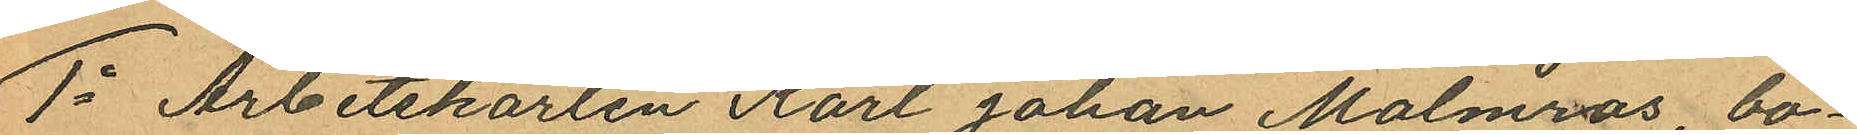1o Arbetskarlen Karl Johan Malmros, bo¬
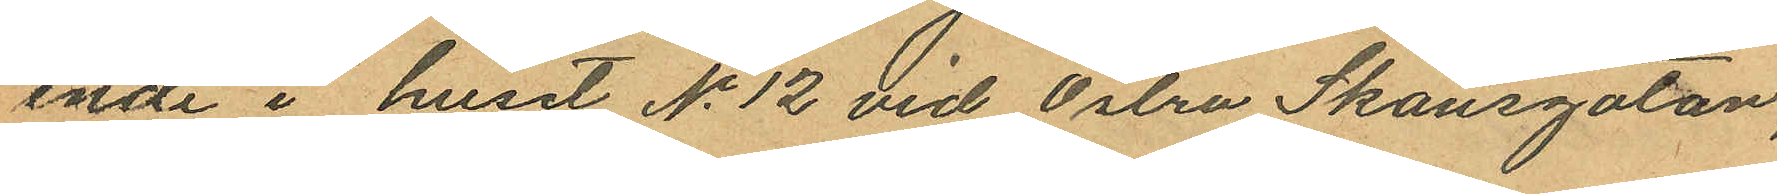ende i huset No 12 vid Östra Skansgatan,
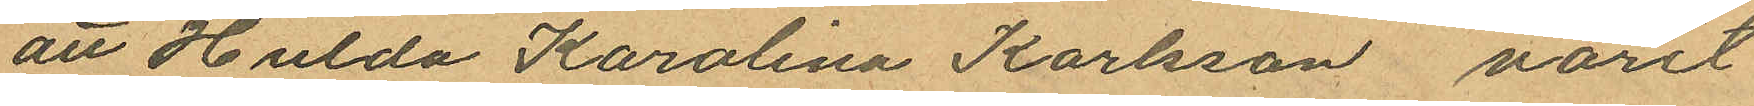att Hulda Karolina Karlsson varit
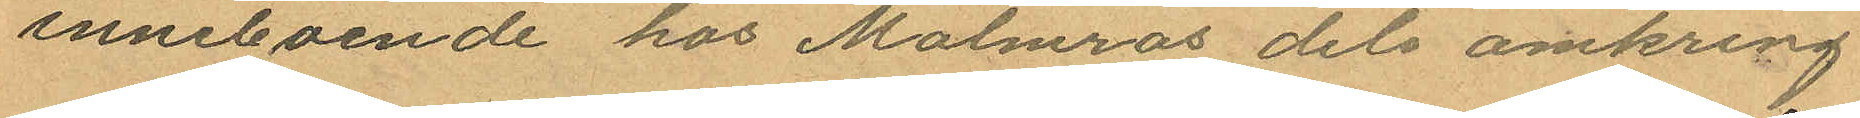inneboende hos Malmros dels omkring
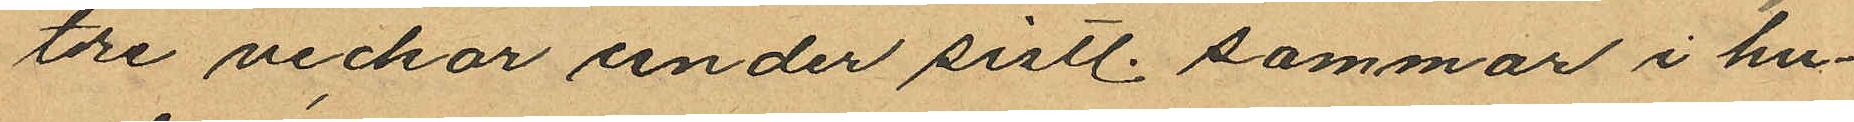tre veckor under sistl. sommar i hu¬
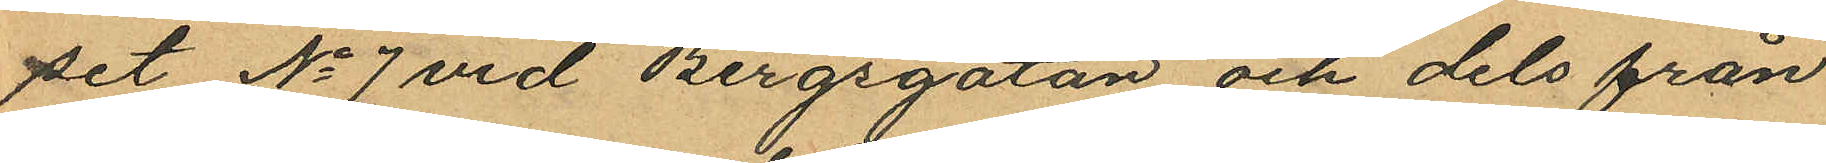set No 7 vid Bergsgatan och dels från
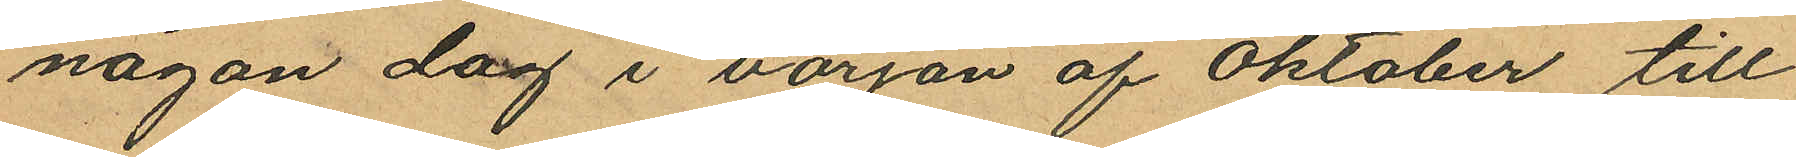någon dag i början af Oktober till
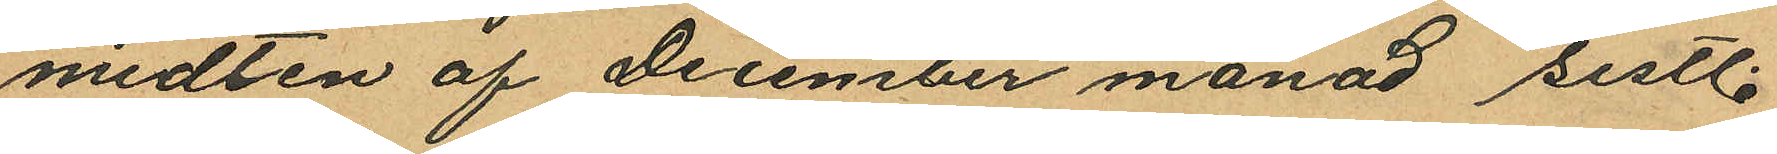midten af December månad sistl.
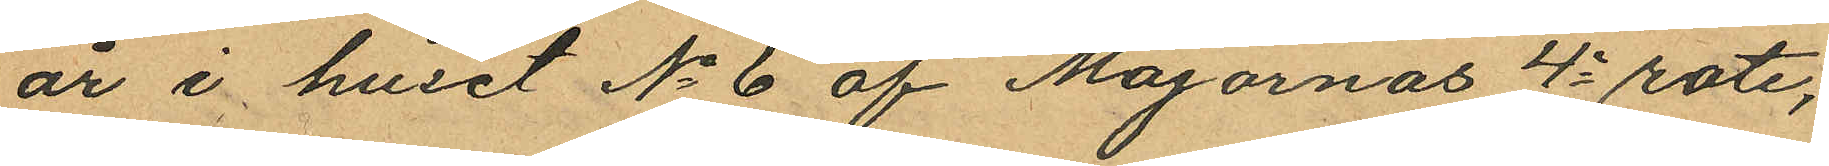år i huset No 6 af Majornas 4e rote,
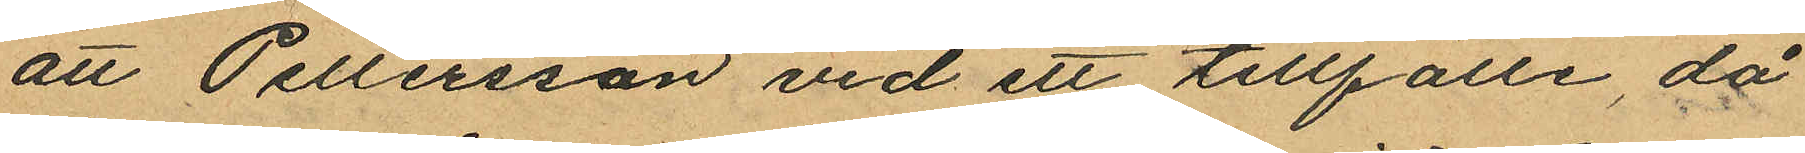att Pellersson vid ett tillfälle, då
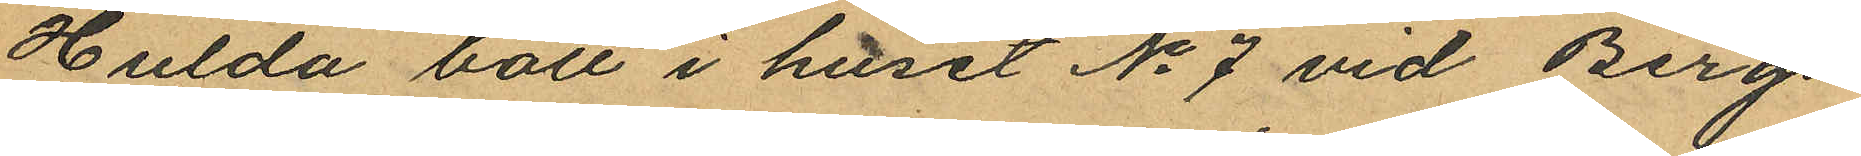Hulda bott i huset No 7 vid Bergs¬
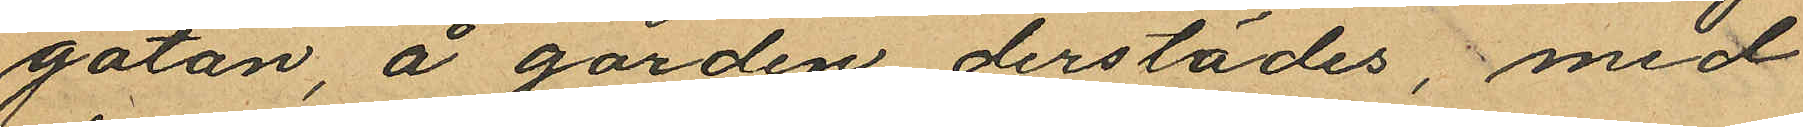gatan, å gården derstädes, med
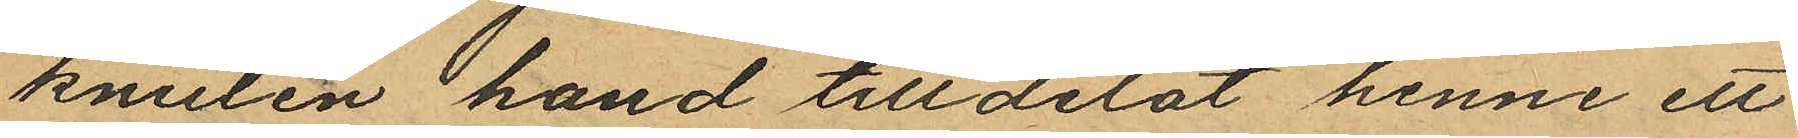knuten hand tilldelat henne ett
